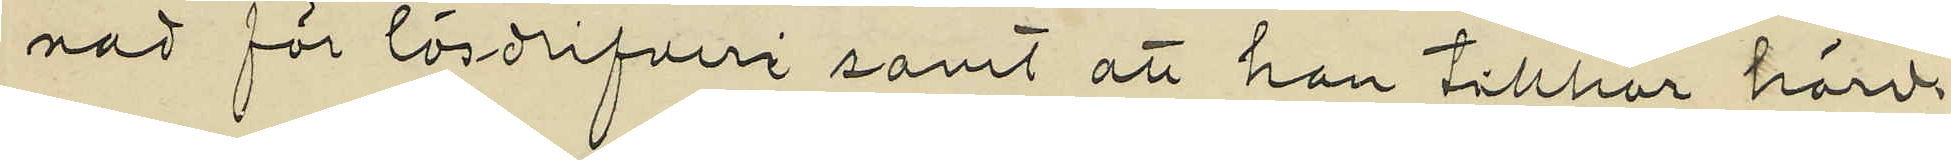nad för lösdrifveri samt att han tillhör härv.
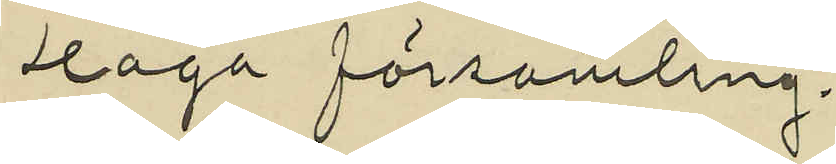Haga församling.
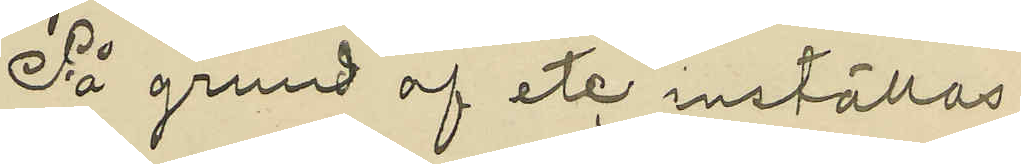På grund af etc inställas.
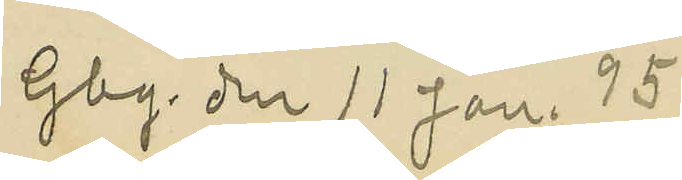Gbg. den 11 Jan. 95
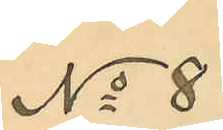No 8
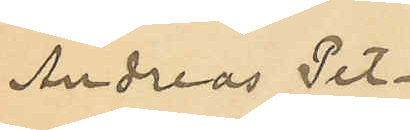Andreas Pet¬
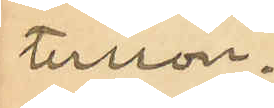tersson.
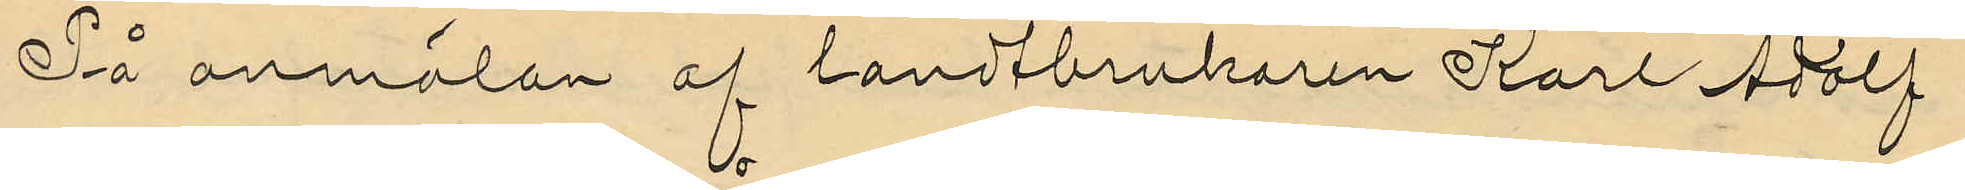På anmälan af landtbrukaren Karl Adolf
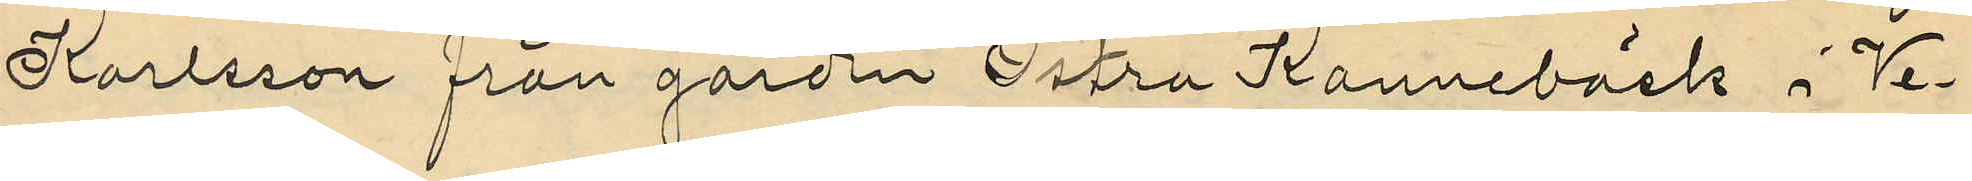Karlsson från gården Östra Kannebäck i Ve¬
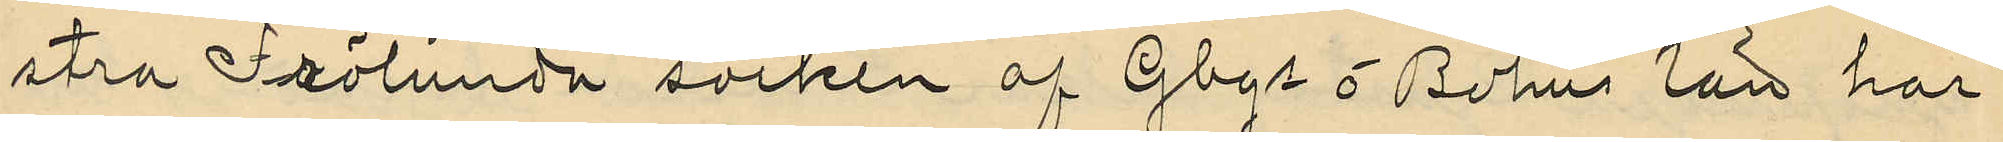stra Frölunda socken af Gbgs o Bohus län har
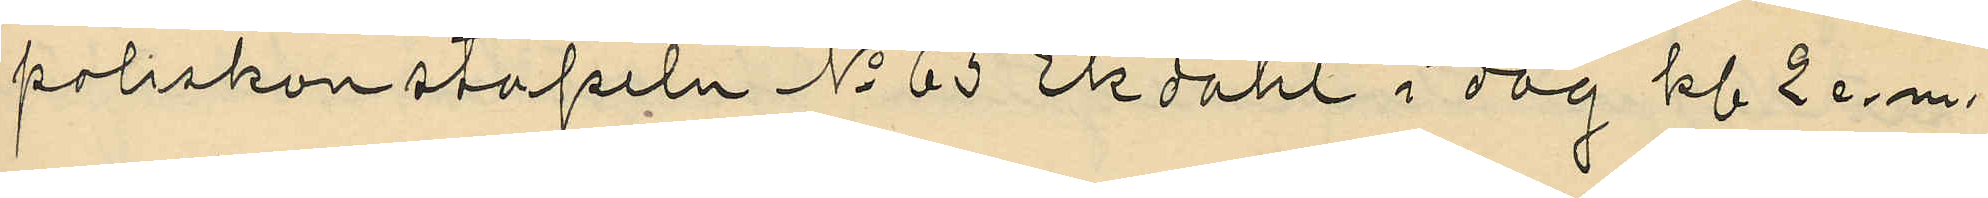poliskonstapeln No 65 Ekdahl i dag kl 2 e.m.
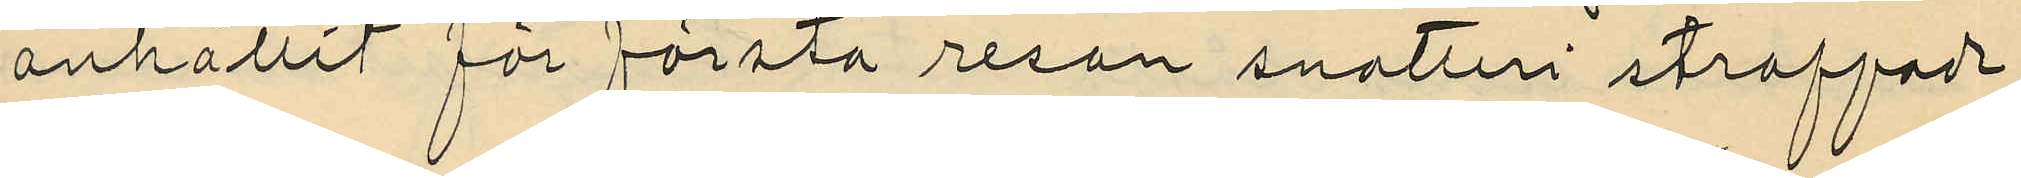anhållit för första resan snatteri straffade
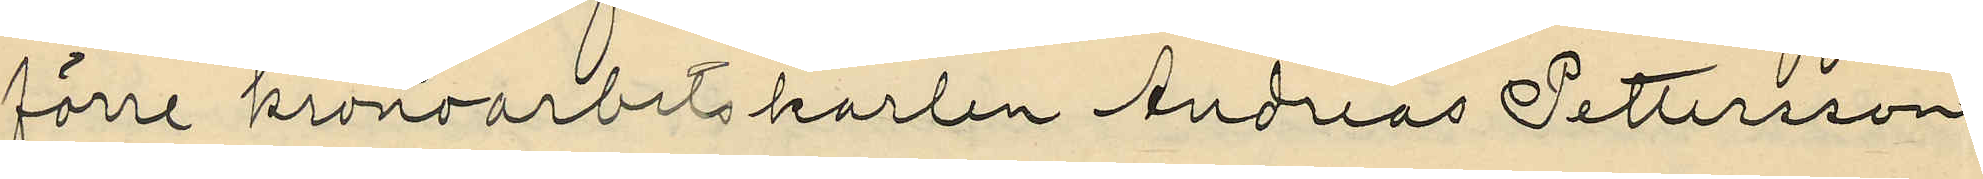förre kronoarbetskarlen Andreas Pettersson
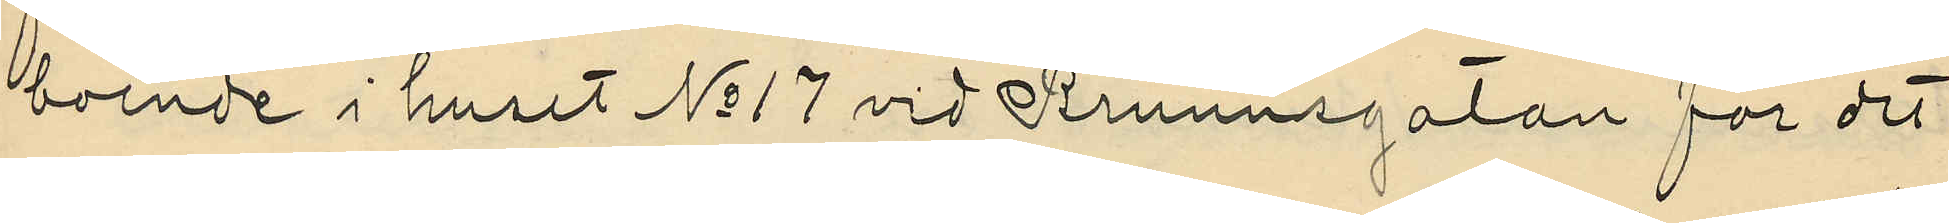boende i huset No 17 vid Brunnsgatan för det
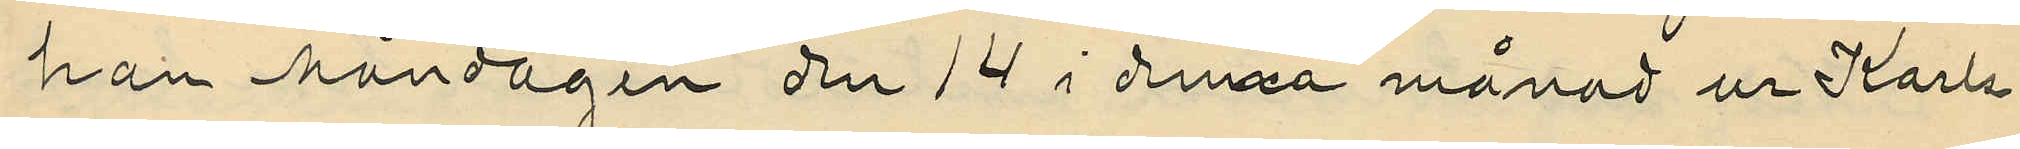han Måndagen den 19 i denna månad ur Karls¬
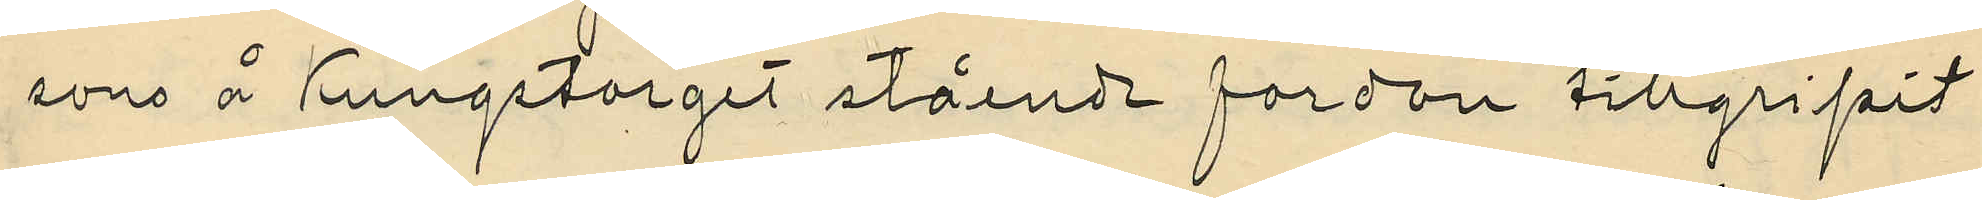sons å Kungstorget stående fordon tillgripit
